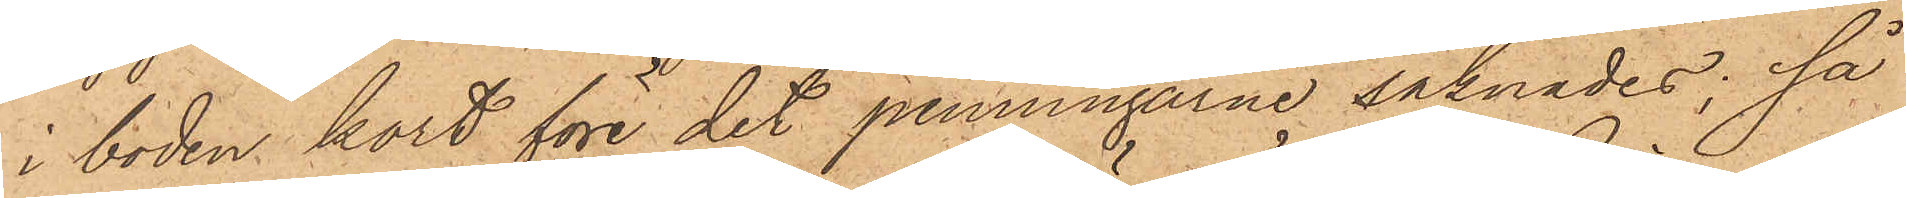i boden kort före det penningarne saknades; så
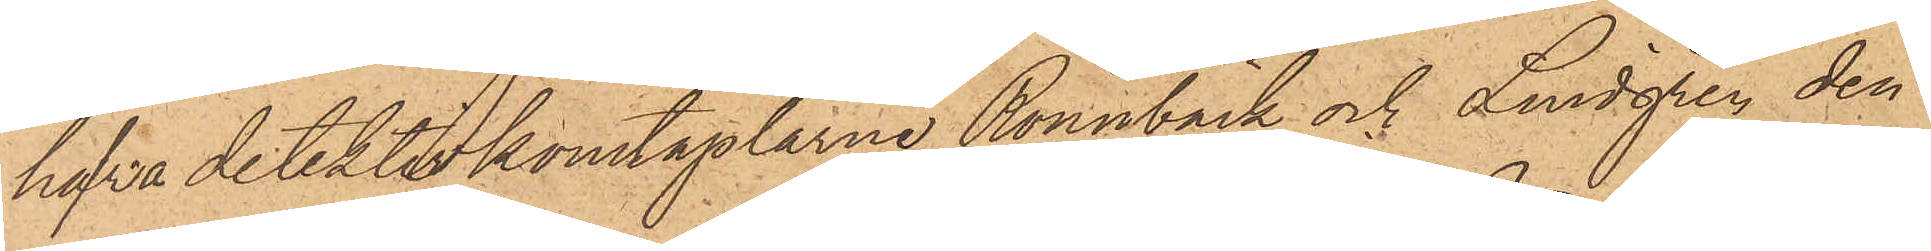hafva detektivkonstaplarne Rönnbäck och Lindgren den
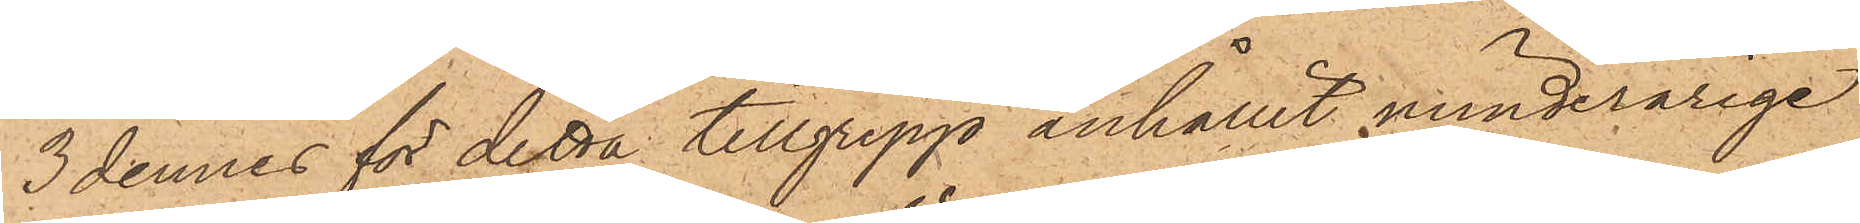3 dennes för detta tillgrepp anhållit minderårige
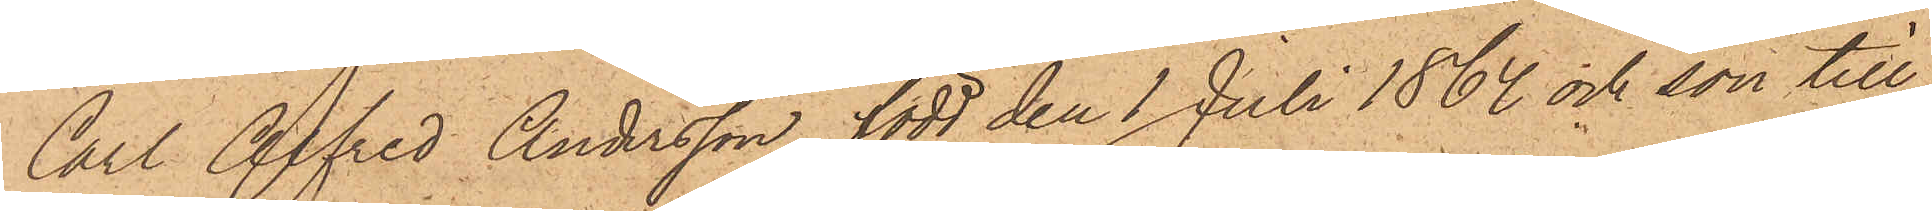Carl Alfred Andersson, född den 1 Juli 1864 och son till
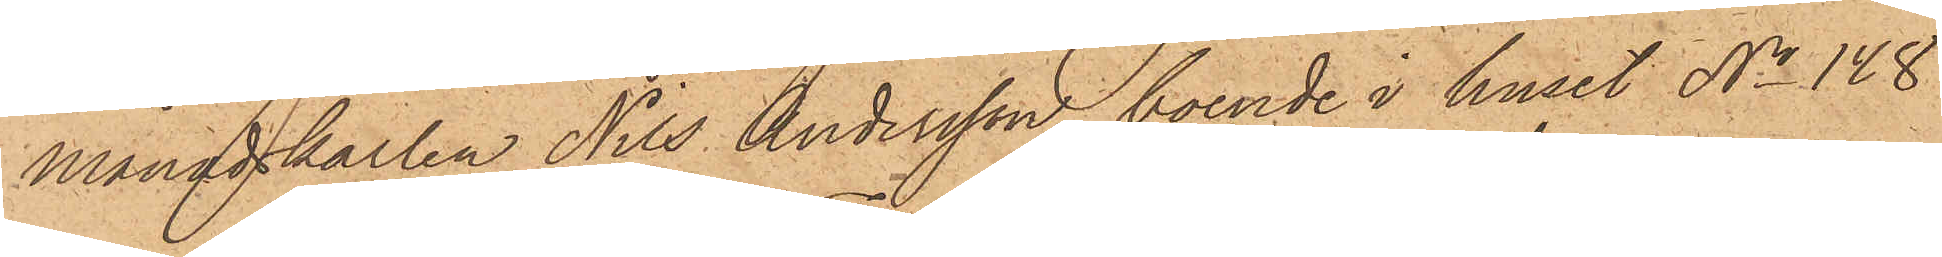månadskarlen Nils Andersson, boende i huset No 148
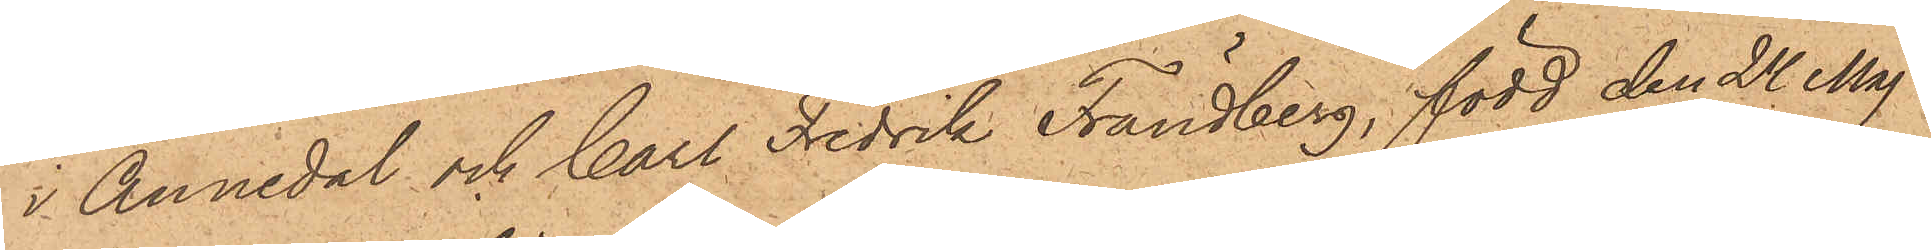i Annedal och Carl Fredrik Frändberg, född den 24 Maj
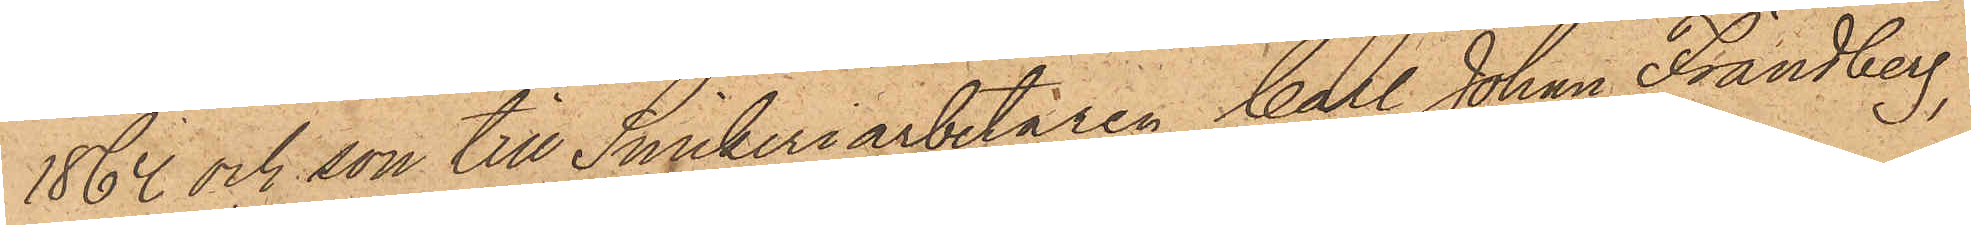1862 och son till Snickeriarbetaren Carl Johan Frändberg,
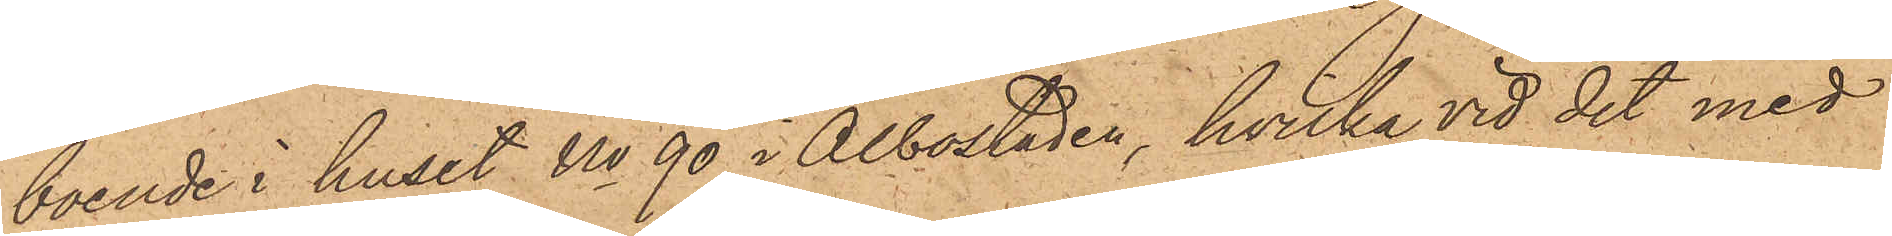boende i huset No 90 i Albostaden, hvilka vid det med
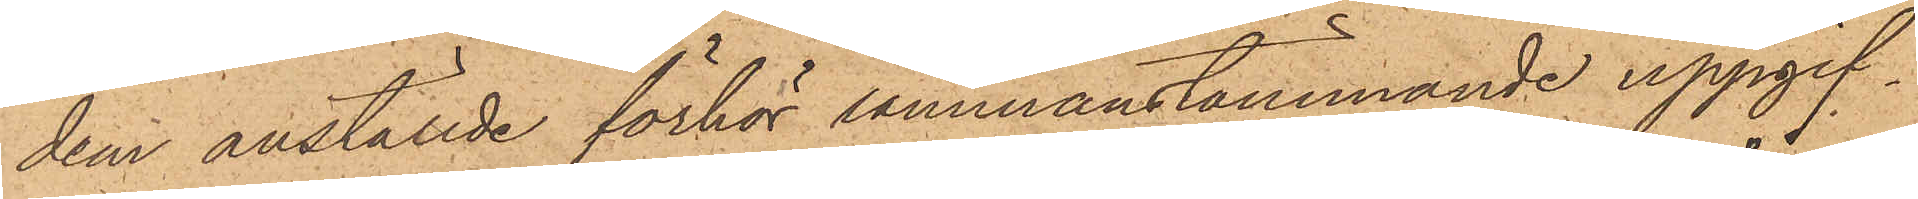dem anställde förhör sammanstämmande uppgif¬
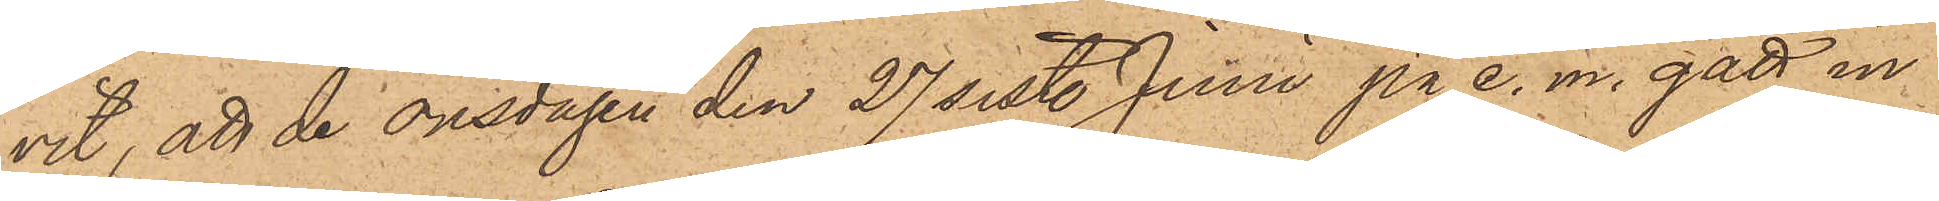vit, att de onsdagen den 27 sistl. Juni på e. m. gått in¬
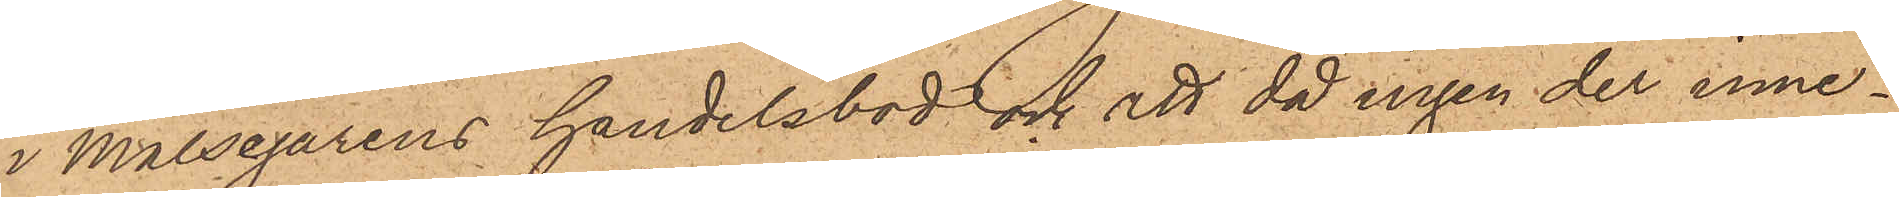i målsegarens handelsbod och att då ingen der inne¬
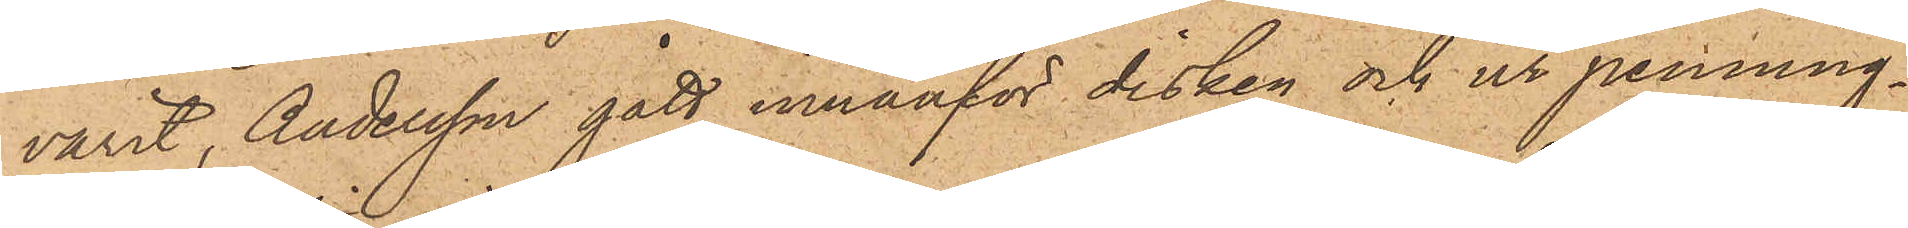varit, Andersson gått innanför disken och ur penning¬
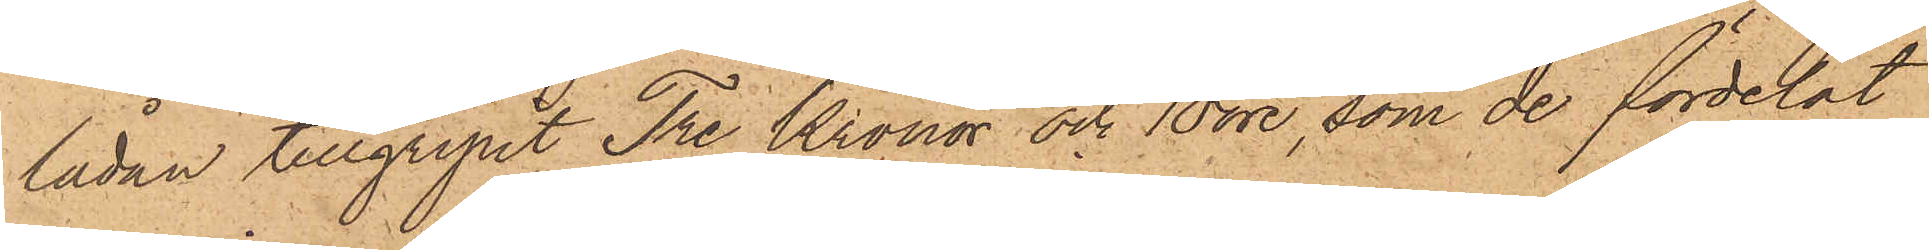lådan tillgripit Tre Kronor och 10 öre, som de fördelat
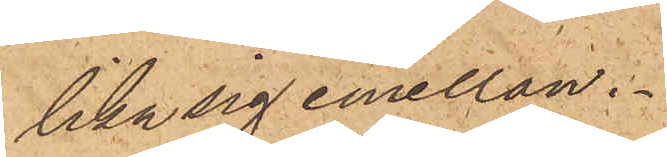lika sig emellan.
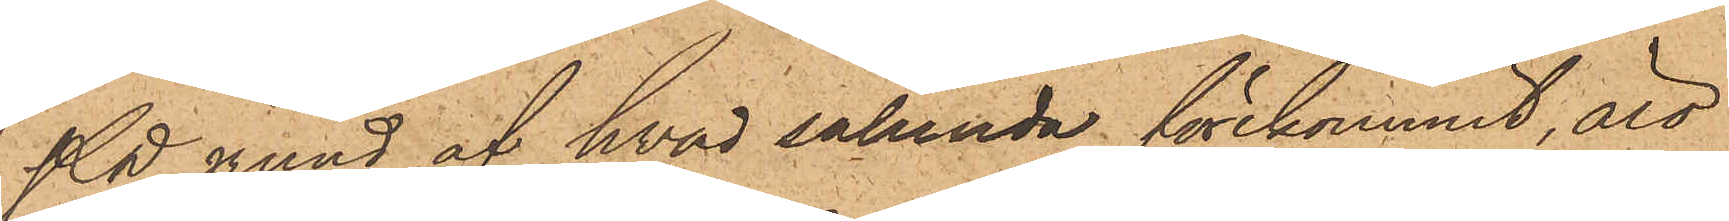På grund af hvad sålunda förekommit, att
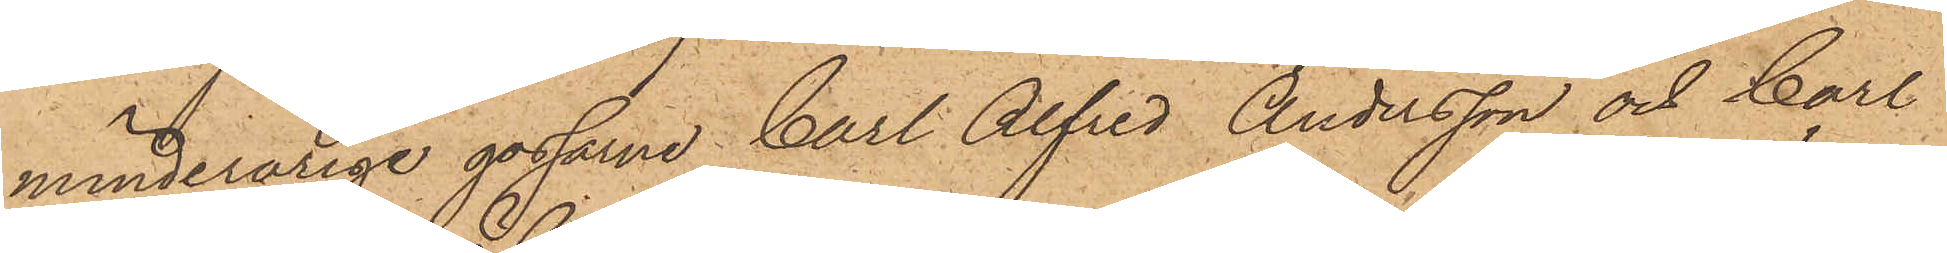minderårige gossarne Carl Alfred Andersson och Carl
